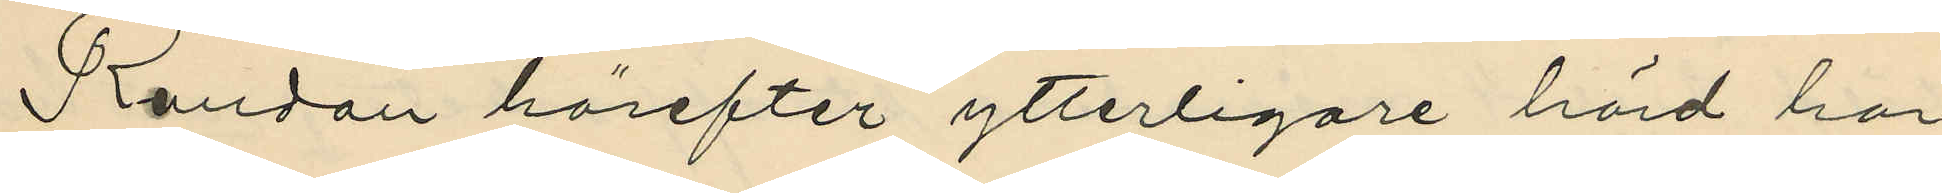Randau härefter ytterligare hörd har
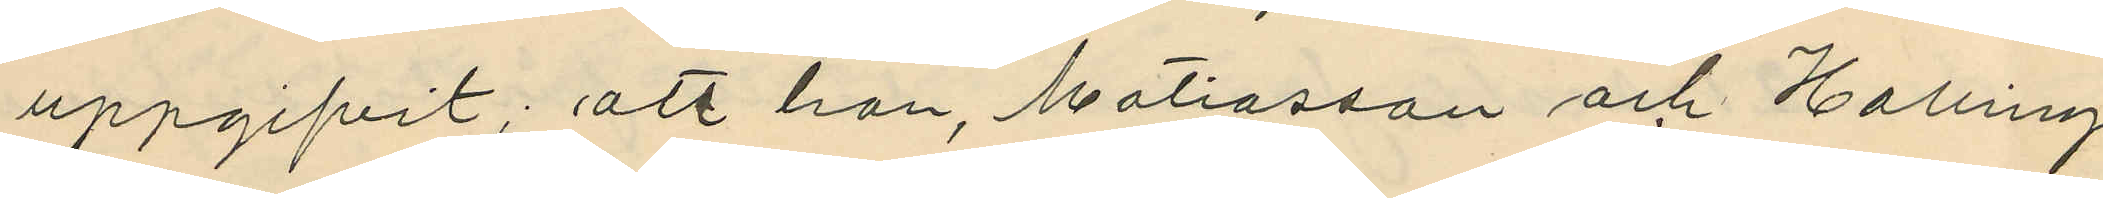uppgifvit; att han, Matiasson och Halling
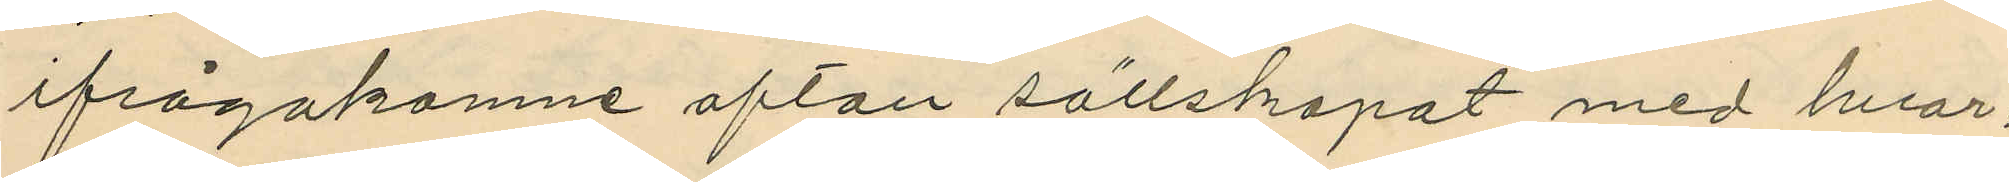ifrågakomne afton sällskapat med hvar¬
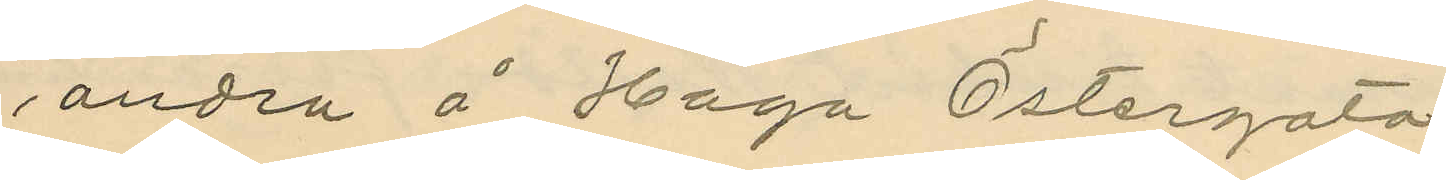andra å Haga Östergata;
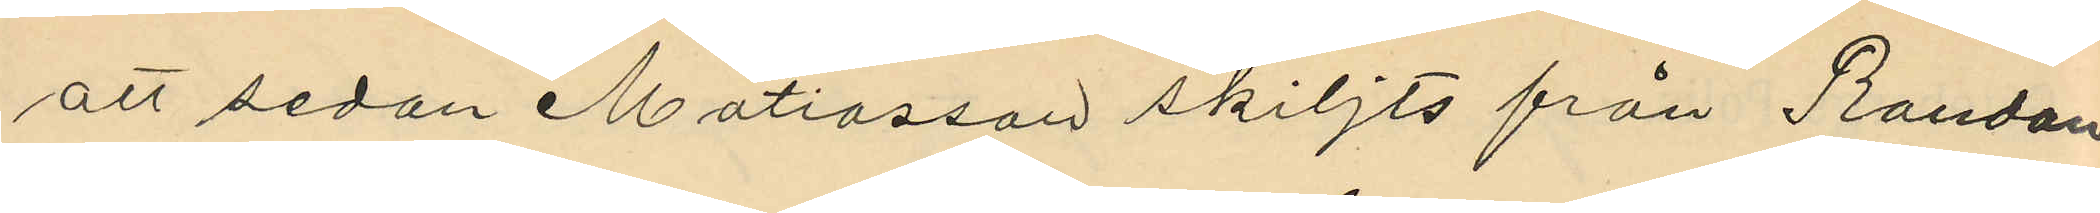att sedan Matiasson skiljts från Randon
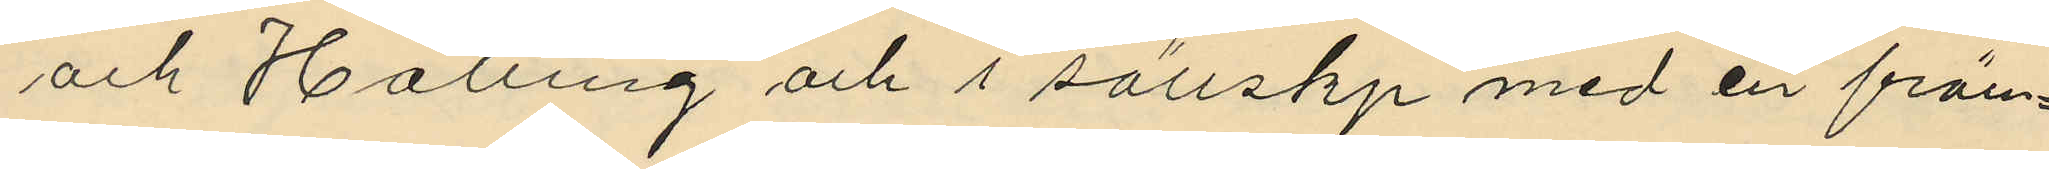och Halling och i sällskp med en främ¬
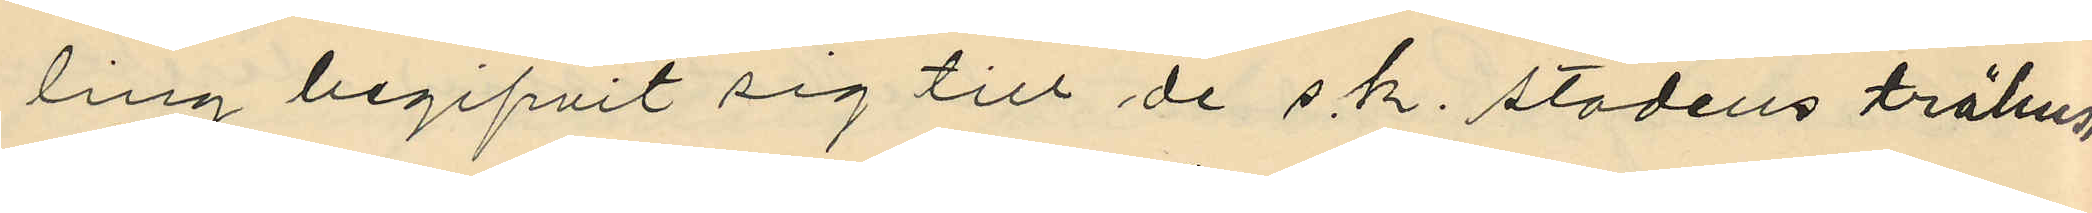ling begifvit sig till de s.k. stadens trähus,
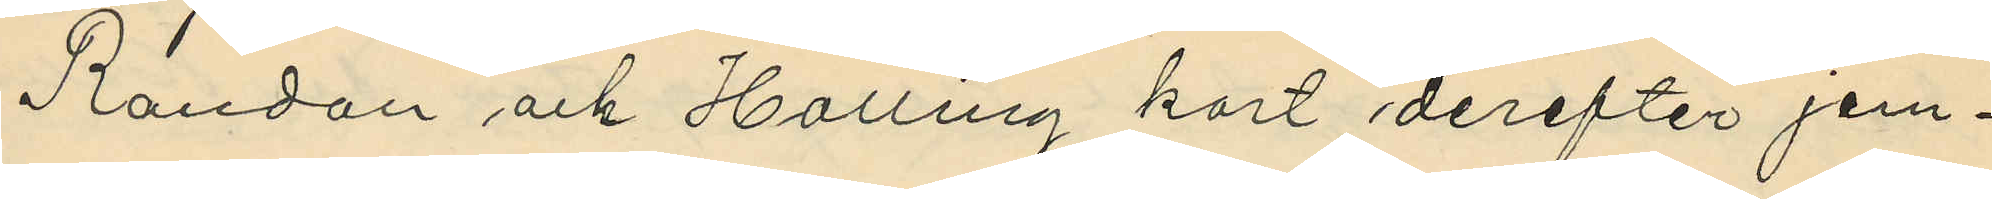Randon och Halling kort derefter jem¬
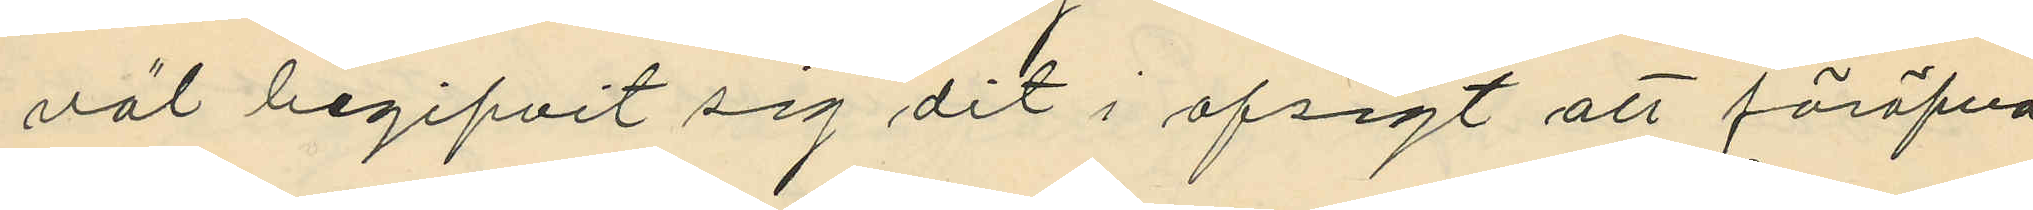väl begifvit sig dit i afsigt att föröfva
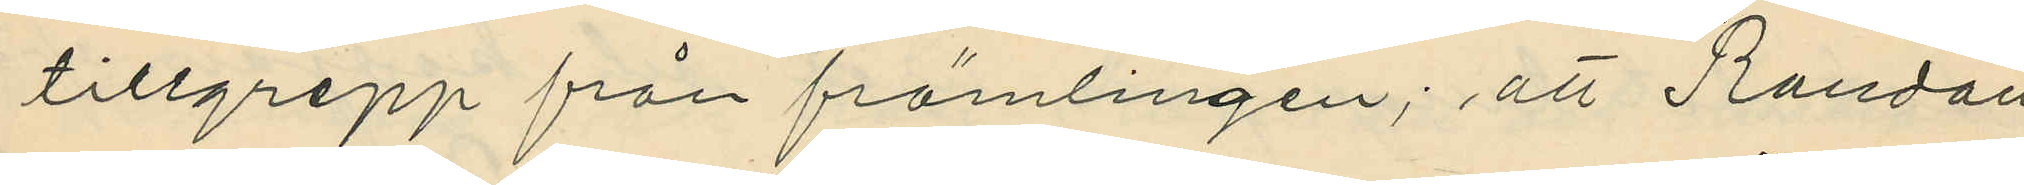tillgrepp från främlingen; att Randau
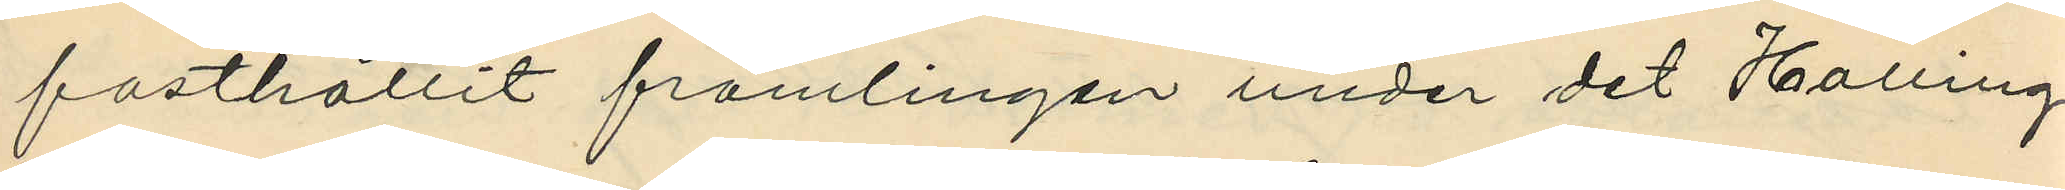fasthållit främlingen under det Halling
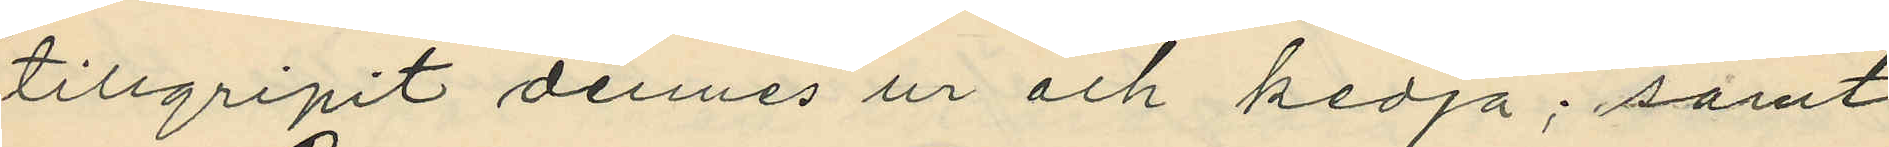tillgripit dennes ur och kedja; samt
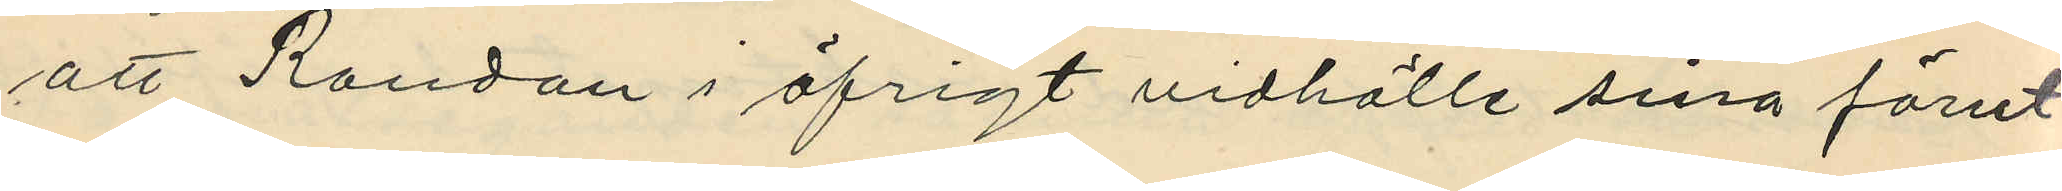att Randau i öfrigt vidhölle sina förut
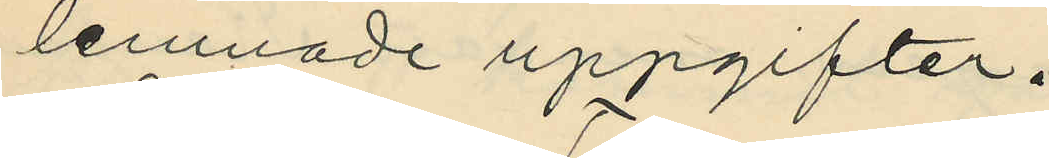lemnade uppgifter.
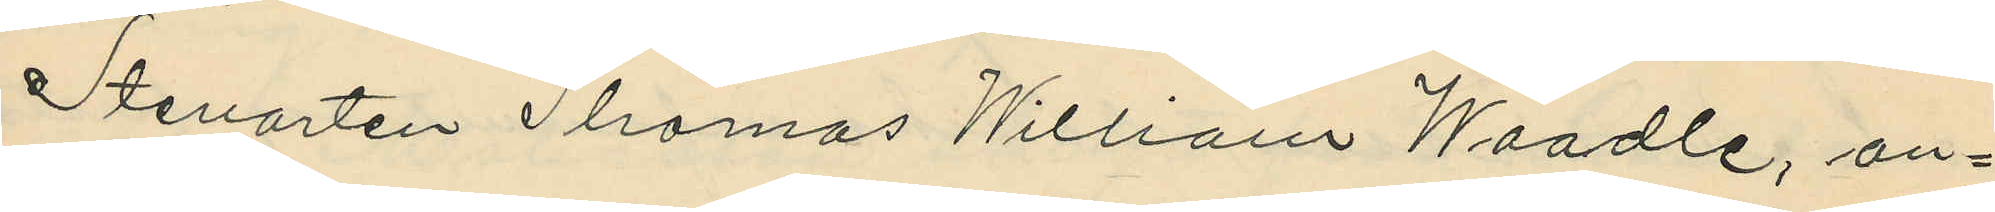Stevarten Thomas Willian Woodle, an¬
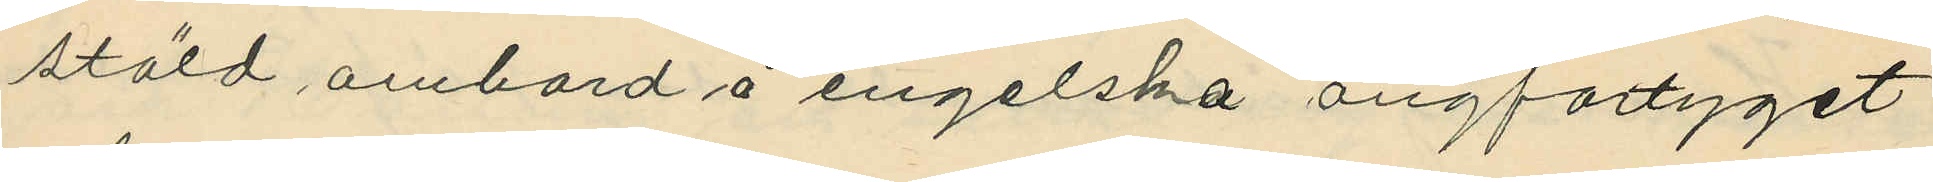stäld ombord å engelska ångfartyget
